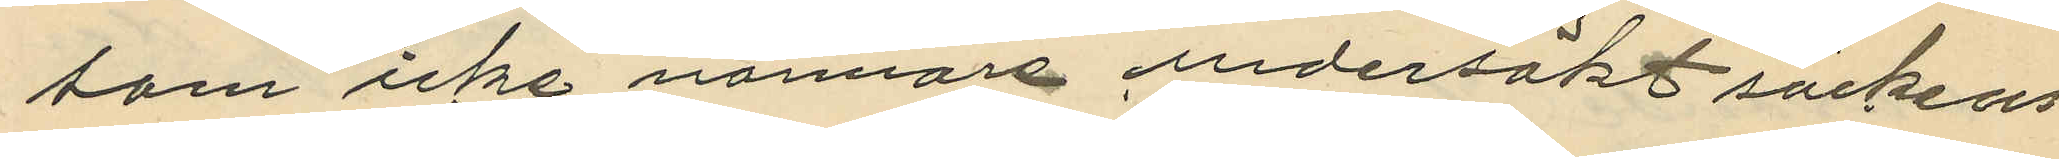som icke närmare undersökt säckens
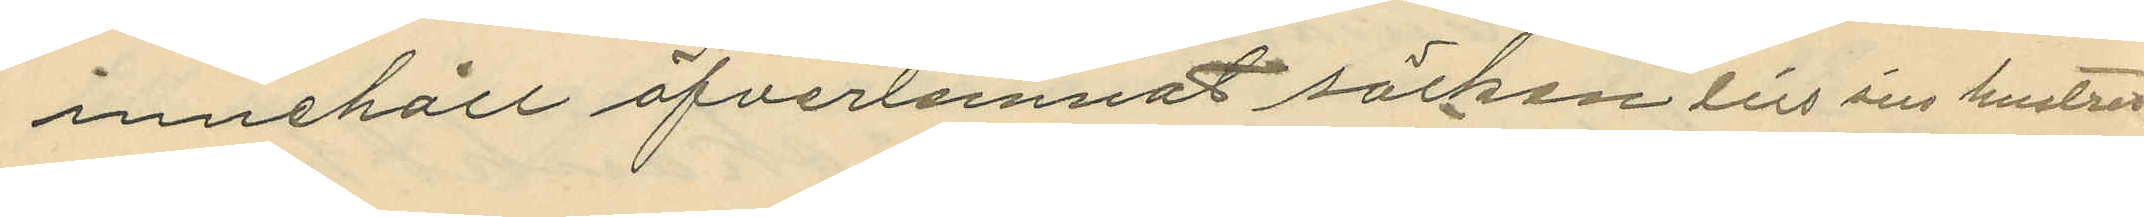innehåll öfverlemnat säcken till sin hustru,
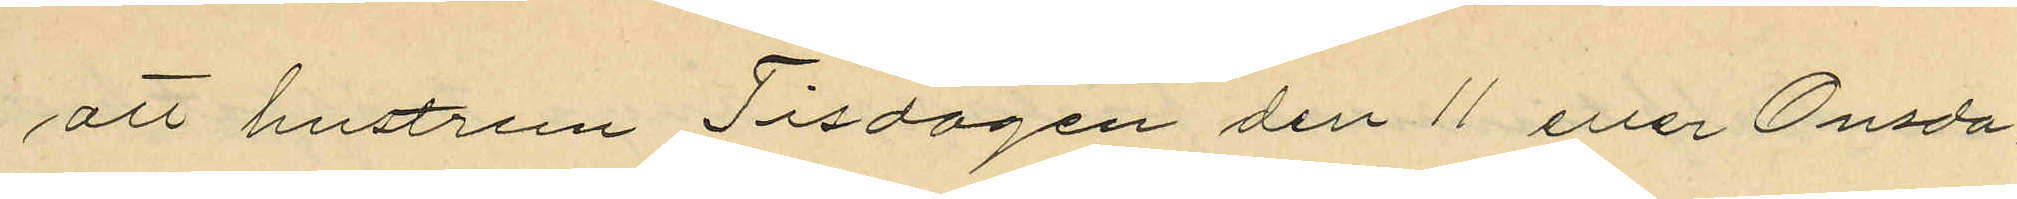att hustrun Tisdagen den 11 eller Onsda¬
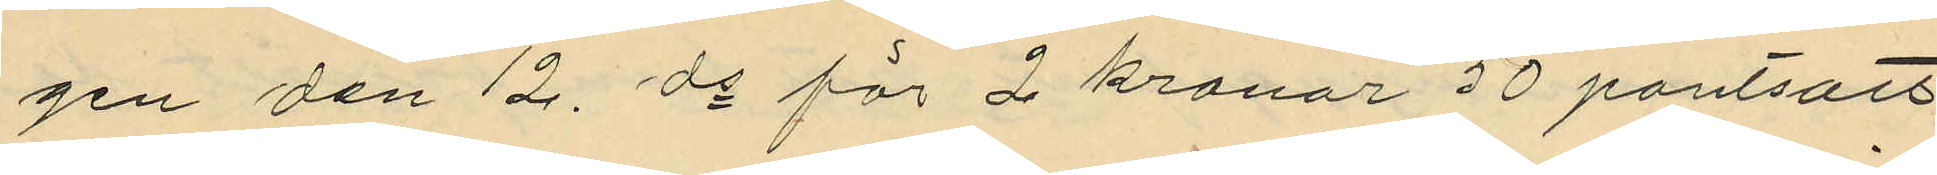gen den 12. ds för 2 kronor 50 pantsatt
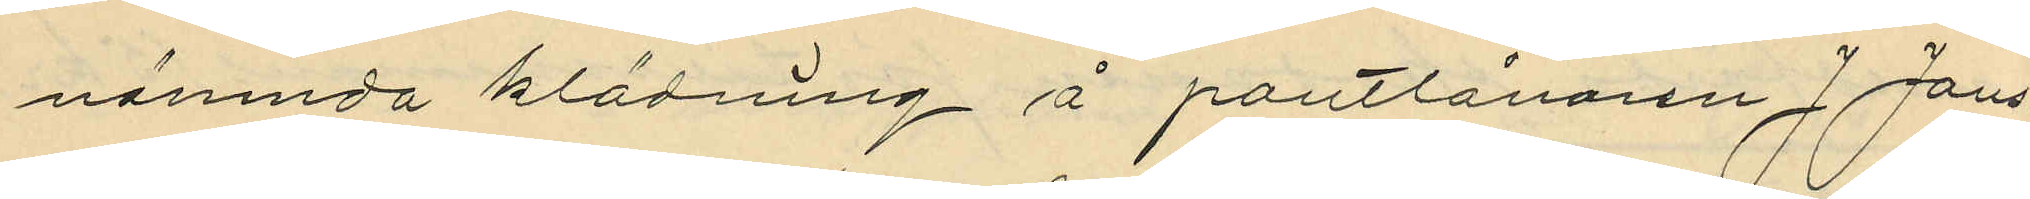nämnda klädning å pantlånaren J. Jans¬
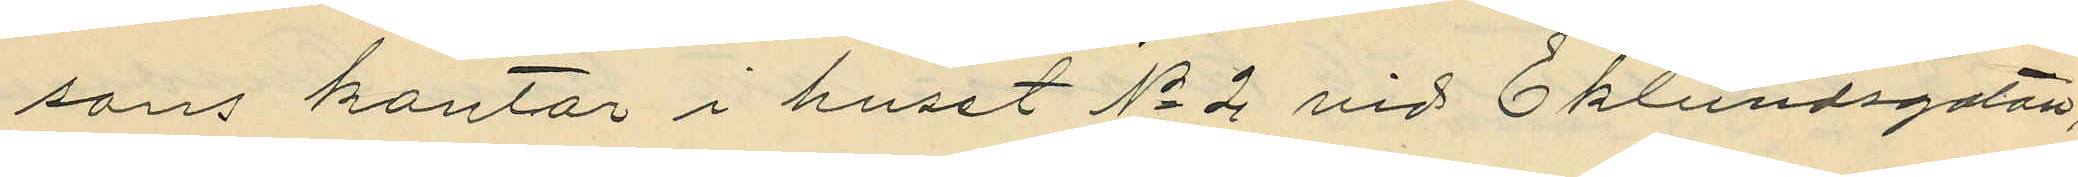sons kontor i huset No 2 vid Eklundsgatan;
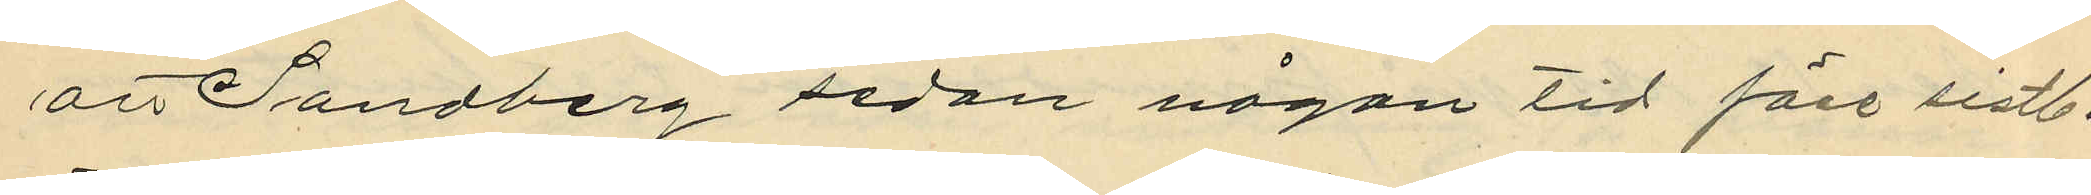att Sandberg sedan någon tid före sistl.
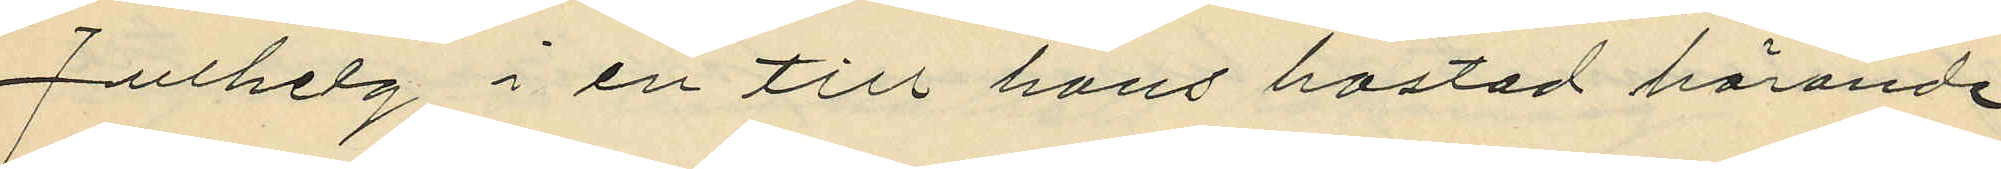Julhelg i en till hans bostad hörande
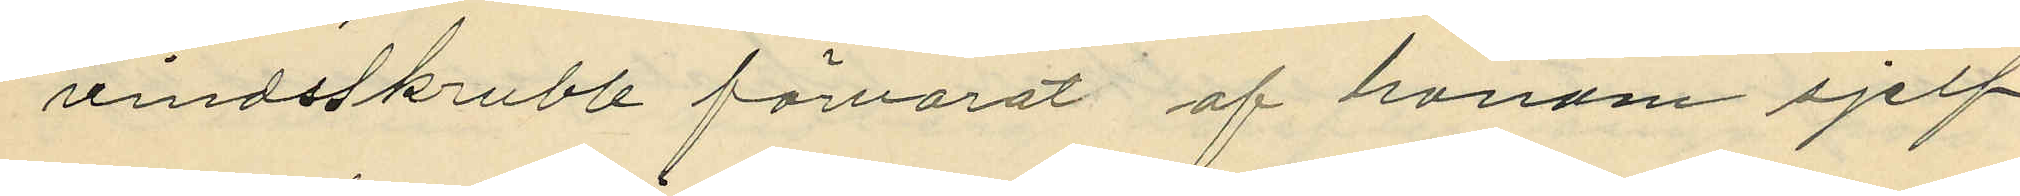vindsskrubb förvarat af honom sjelf
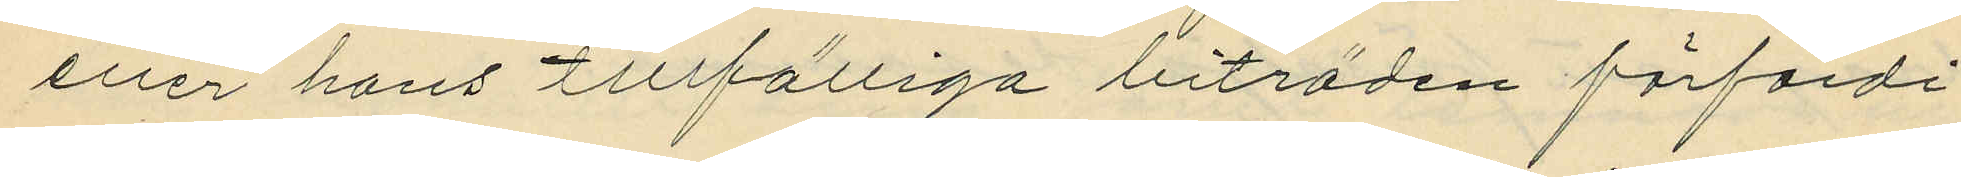eller hans tillfälliga biträden förfärdi¬
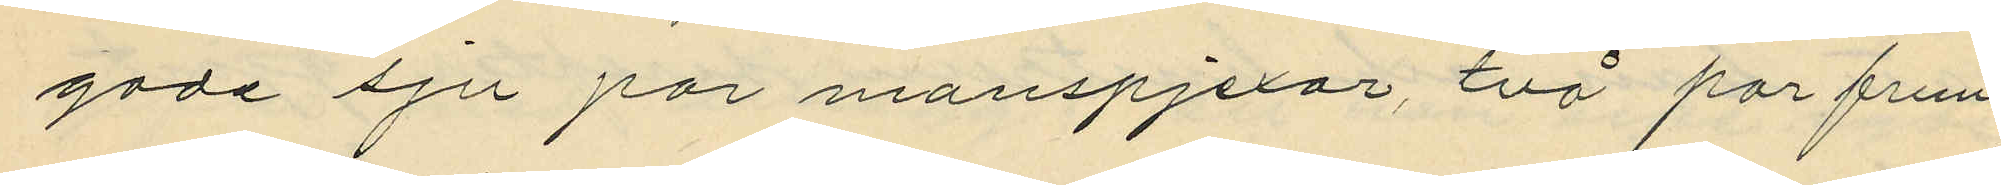gade sju par manspjexor, två par frun¬
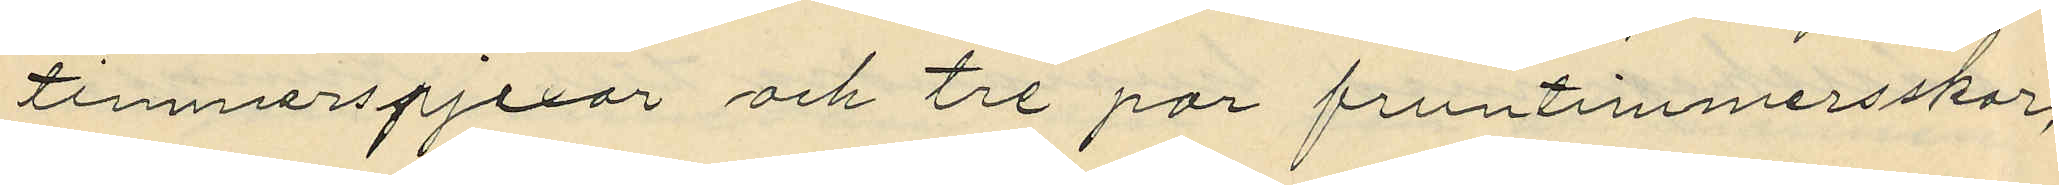timmerspjexor och tre par fruntimersskor;
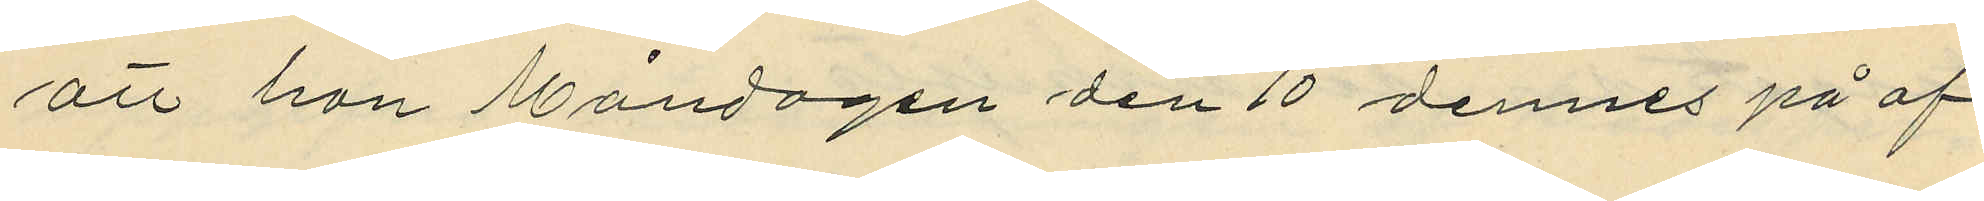att han Måndagen den 10 dennes på af¬
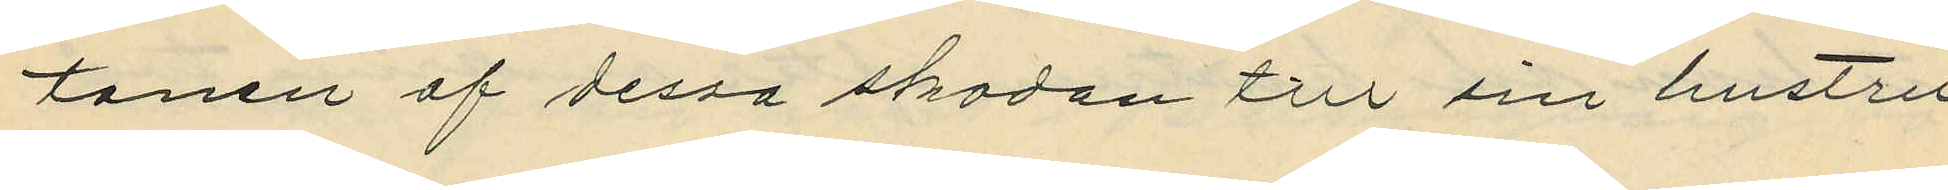tonen af dessa skodon till sin hustru
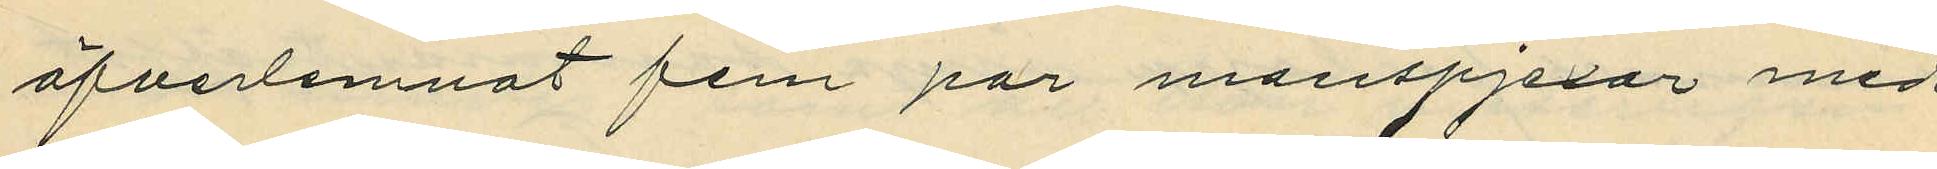öfverlemnat fem par manspjexor med
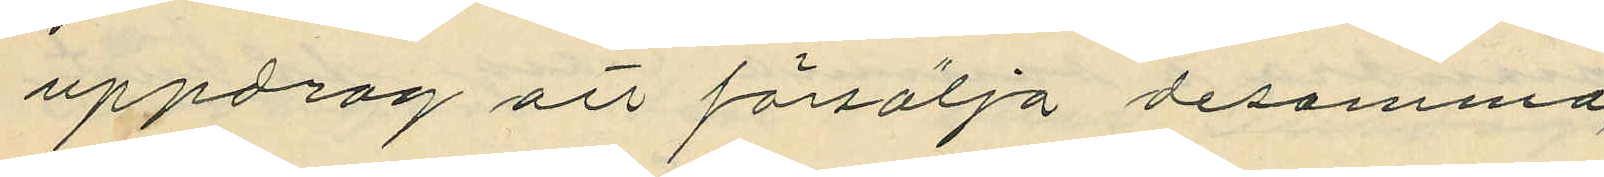uppdrag att försälja desamma,
